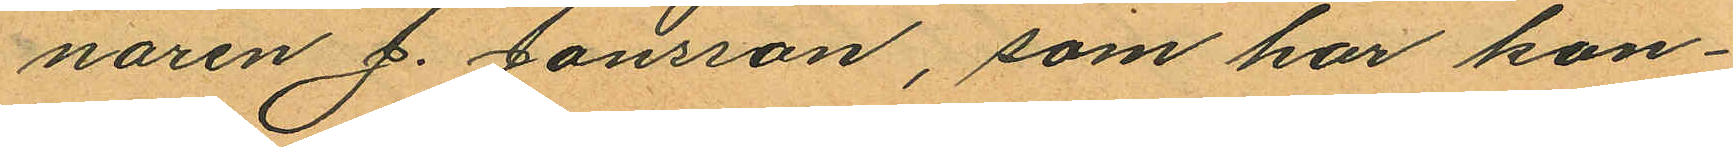naren J. Jonsson, som har kon¬
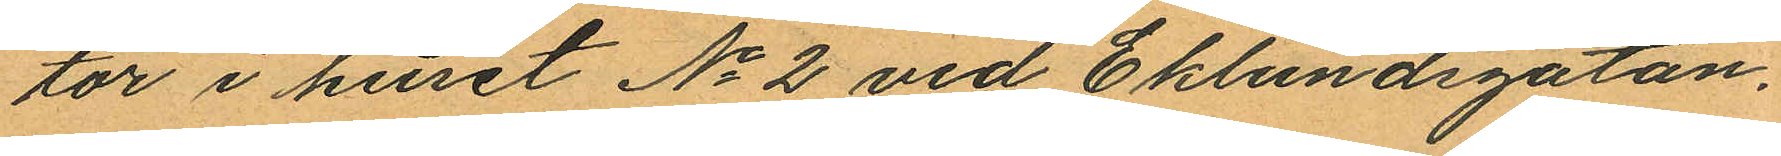tor i huset No 2 vid Eklundsgatan.
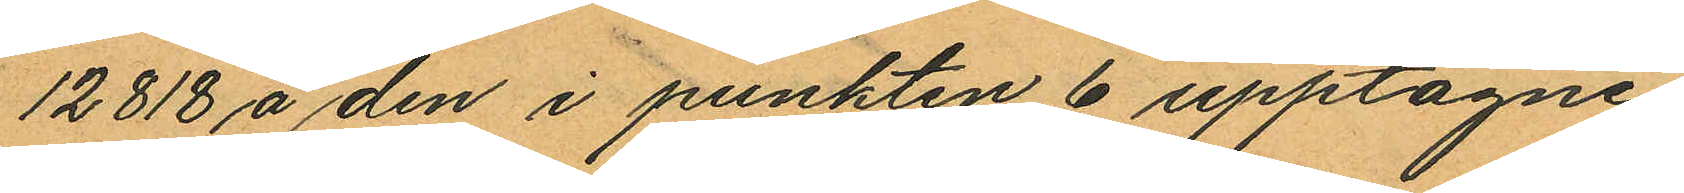12818 å den i punkten 6 upptagne
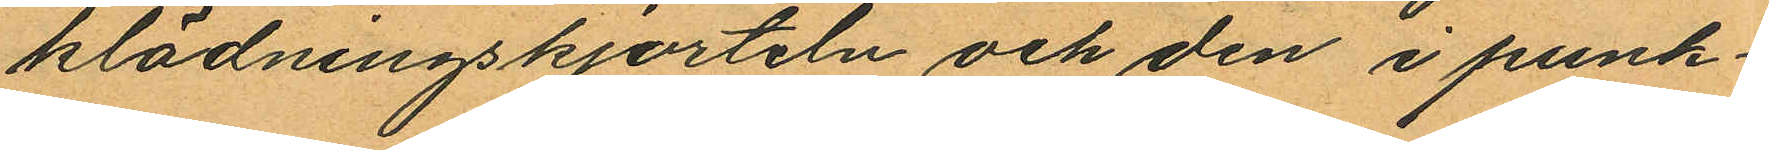klädningskjorteln och den i punk¬
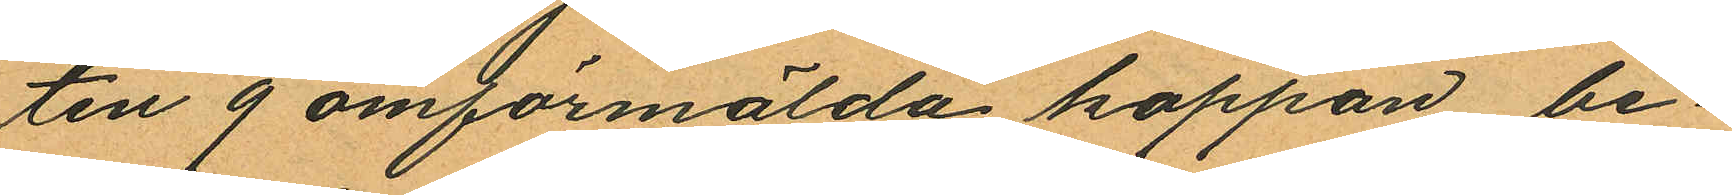ten 9 omförmälda kappan, be¬
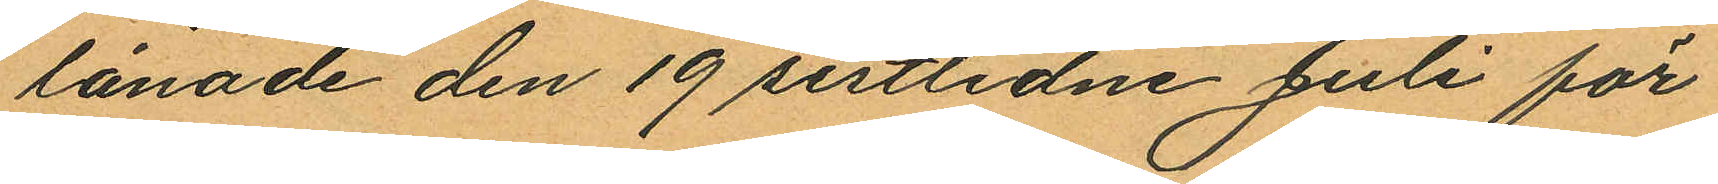lånade den 19 sistlidne Juli för
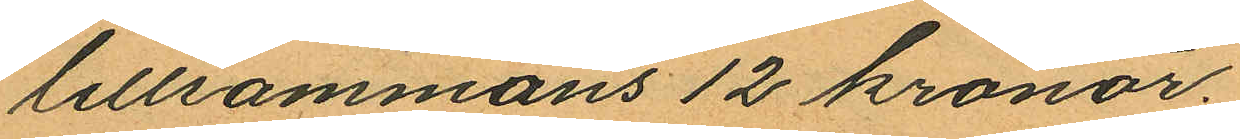lillsammans 12 kronor.
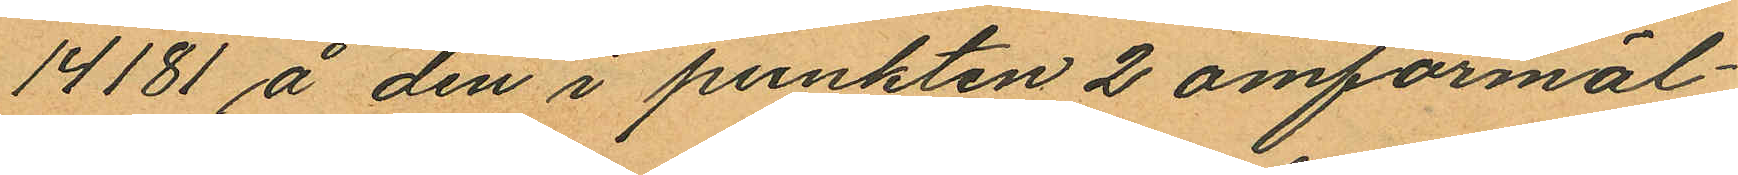14181 å den i punkten 2 omförmäl¬
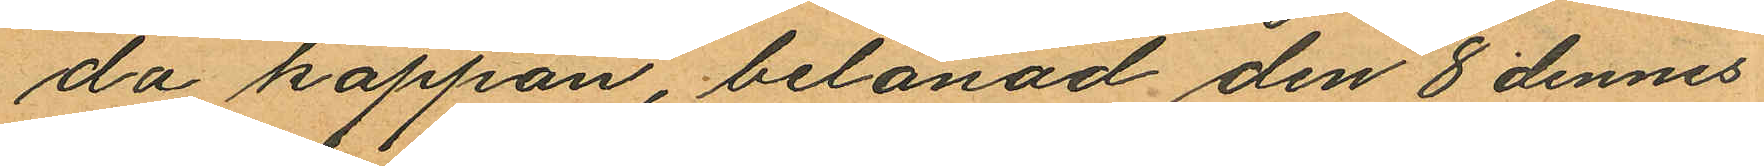da kappan, belånad den 8 dennes
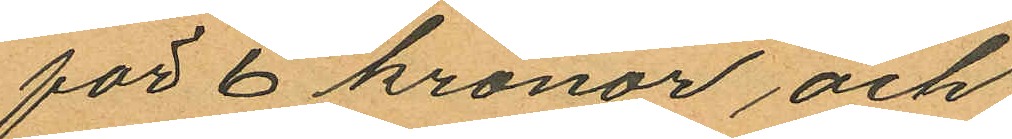för 6 kronor och
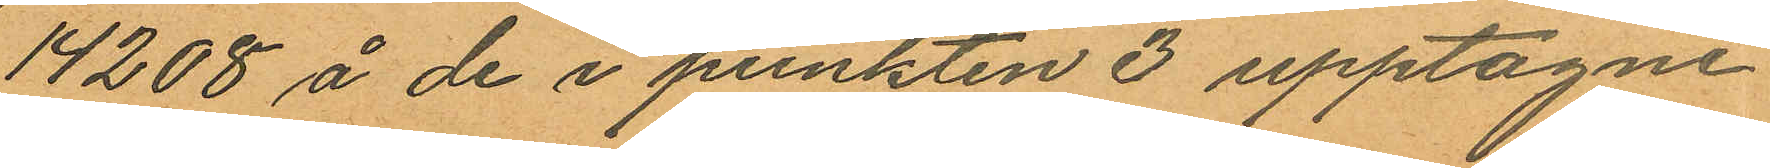14208 å de i punkten 3 upptagne
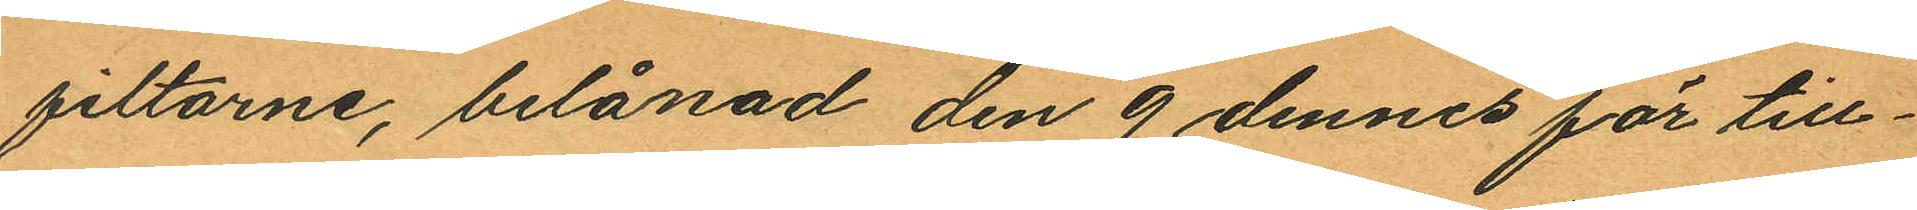filtarne, belånad den 9 dennes för till¬
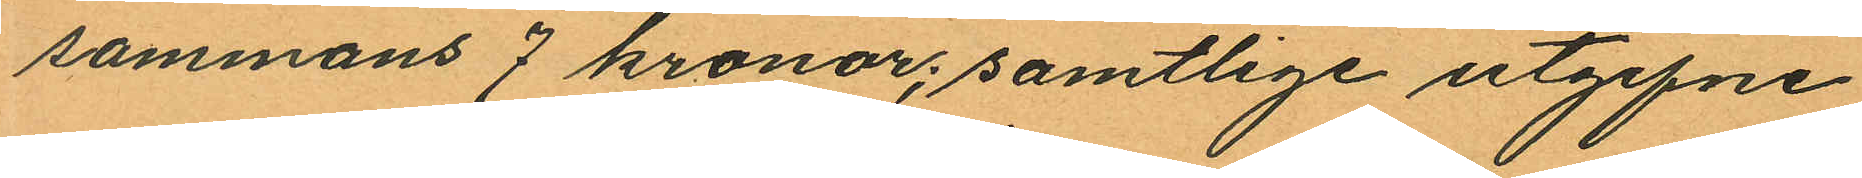sammans 7 kronor; samtlige utgifne
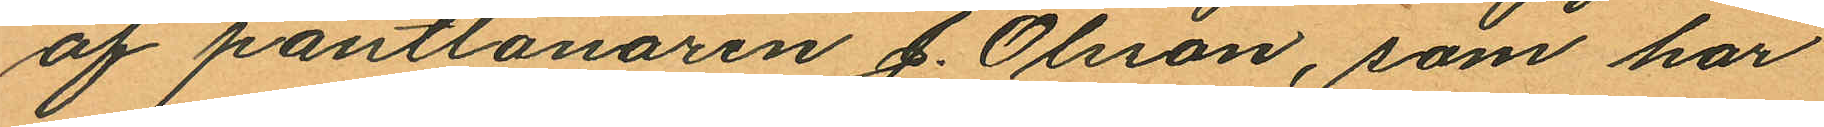af pantlånaren J. Olsson, som har
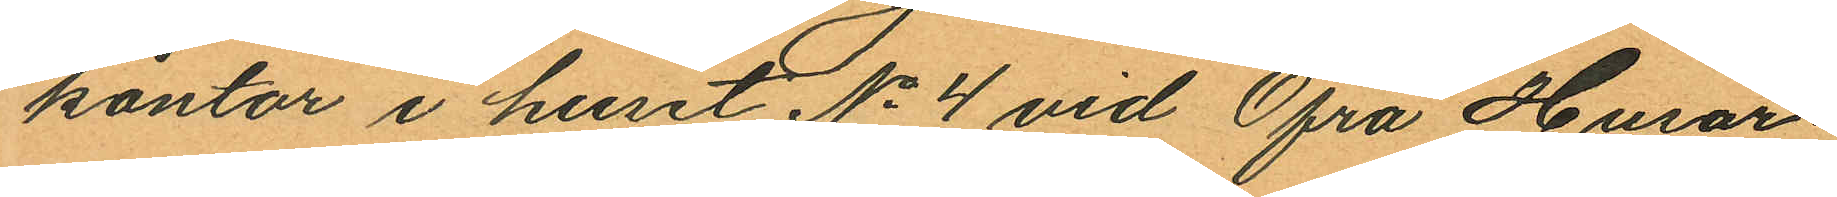kontor i huset No 4 vid Öfra Husar¬
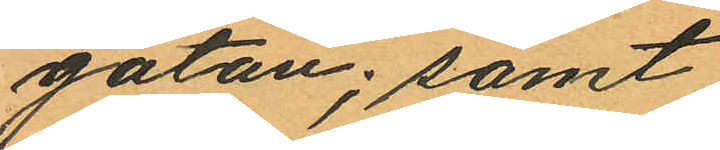gatan; samt
